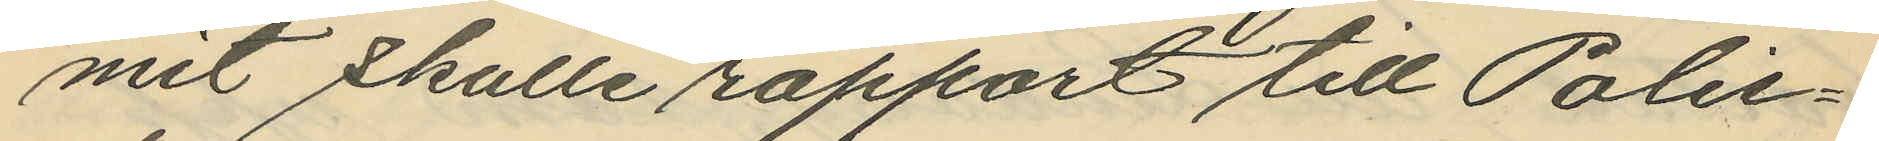mit skulle rapport till Polis¬
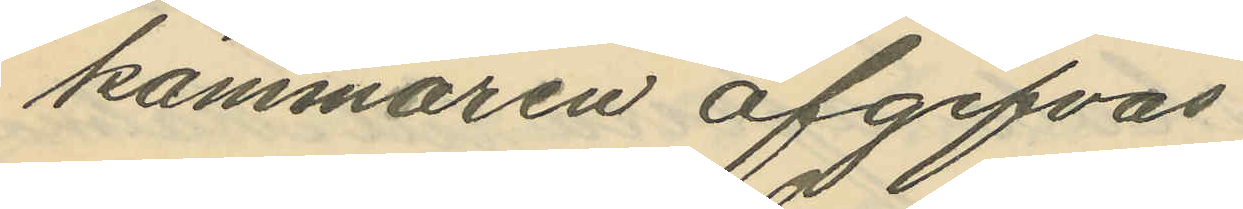kammaren afgifvas.
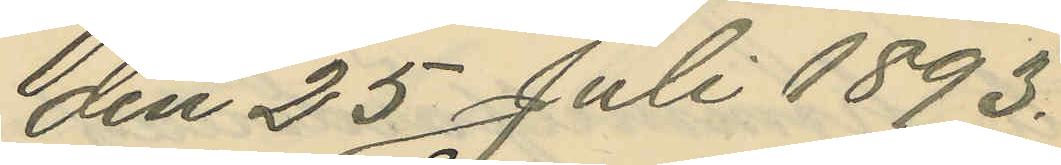den 25 Juli 1893.
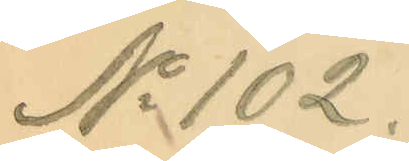No 102.
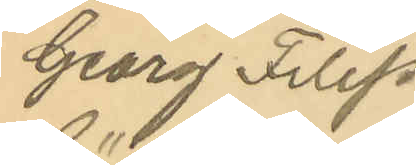Georg Filip
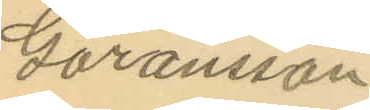Göransson
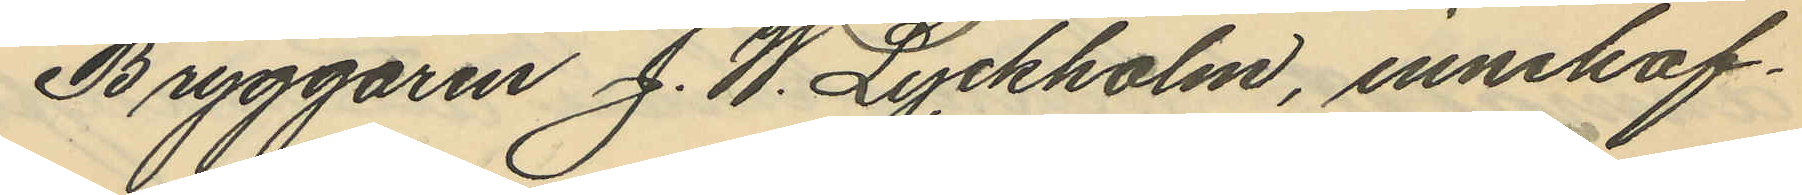Bryggaren J. W. Lyckholm, innehaf¬
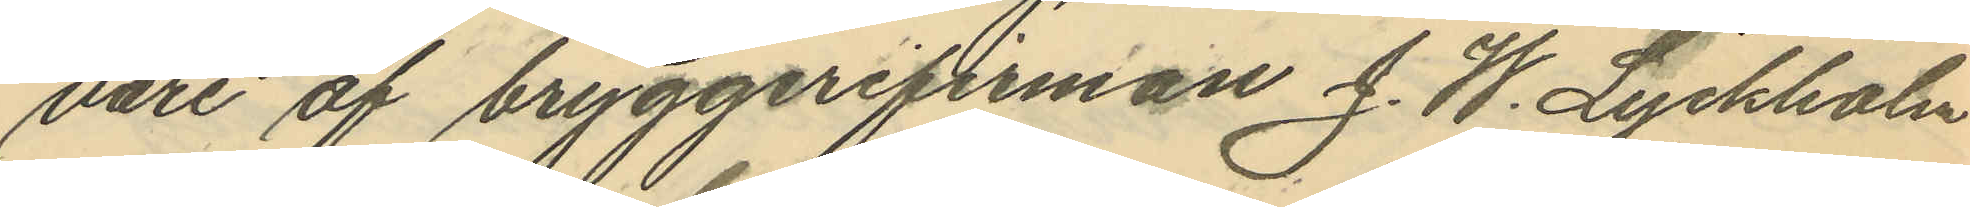vare af bryggerifirman J. W. Lyckholm
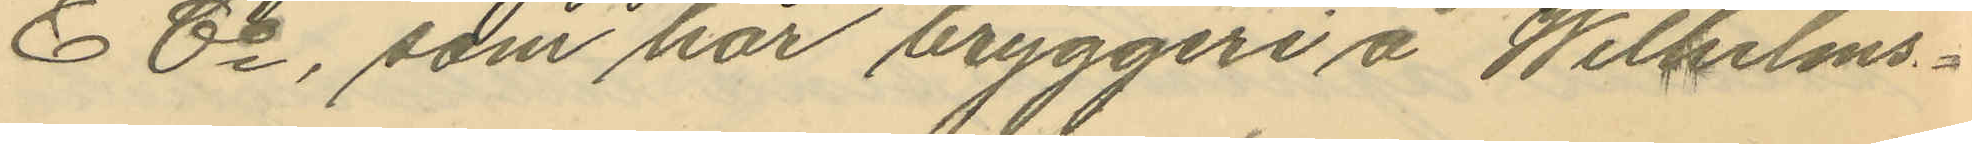& Co, som har bryggeri å Wilhelms¬
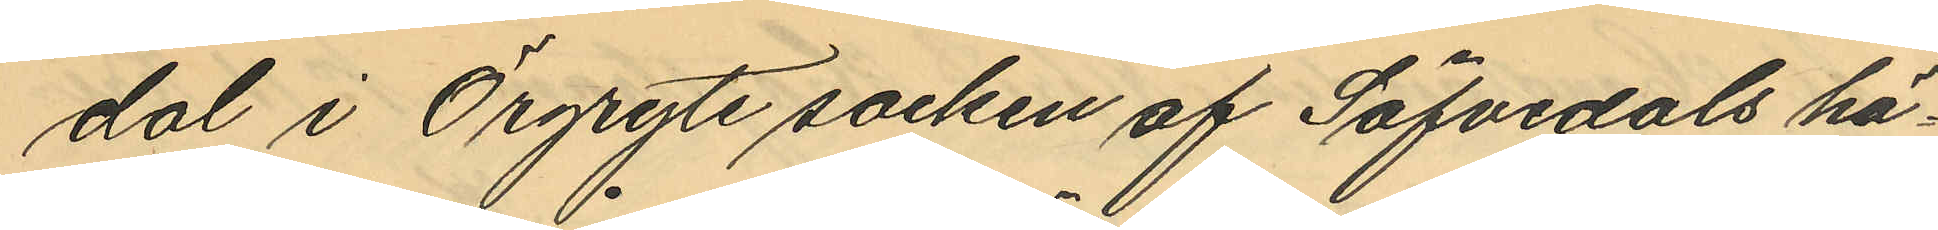dal i Örgryte socken af Säfvedals hä¬
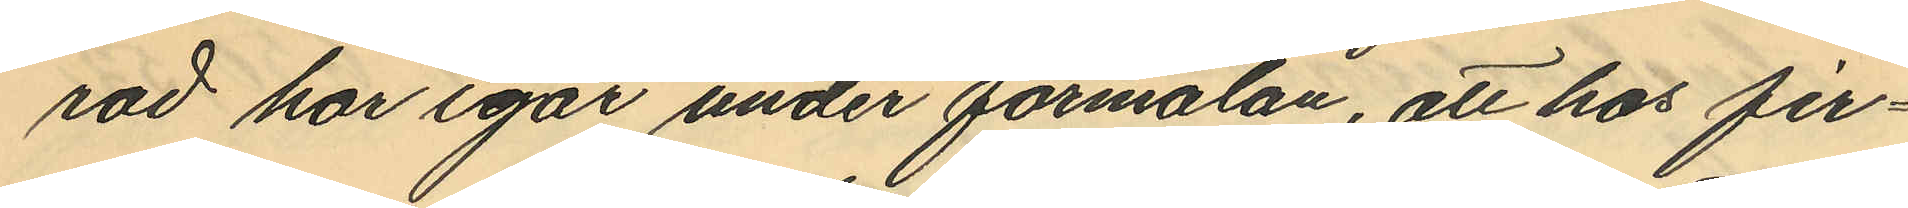rad har igår under förmälan, att hos fir¬
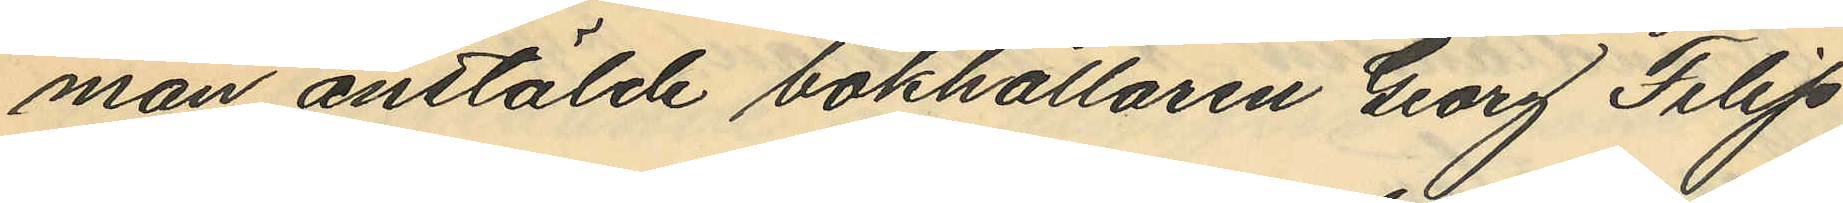man anstälde bokhållaren Georg Filip
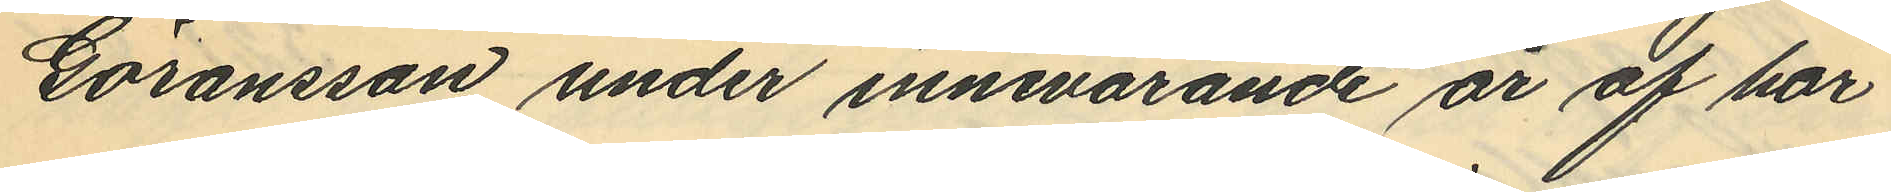Göransson under innevarande år af här
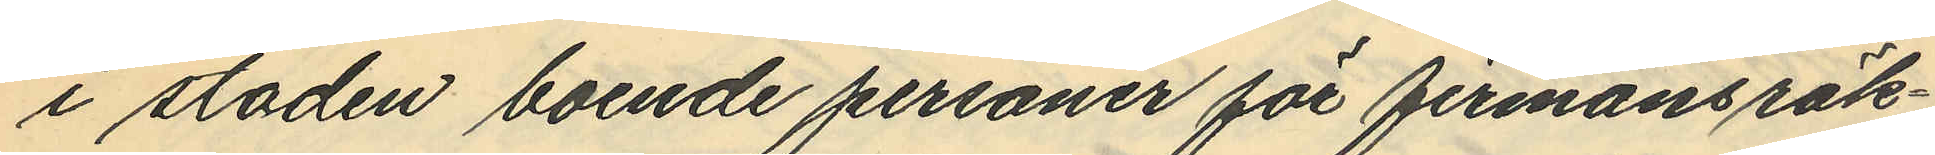i staden boende personer för firmans räk¬
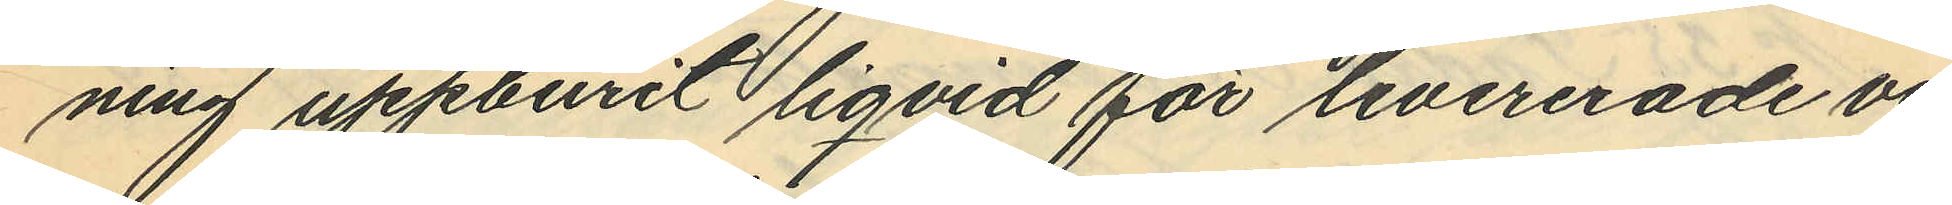ning uppburit liqvid för levererade va¬
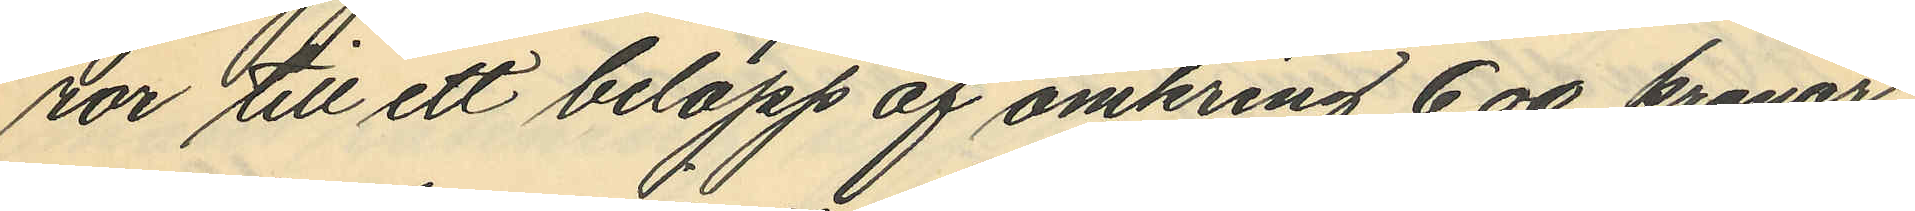ror till ett belopp af omkring 600 kronor,
